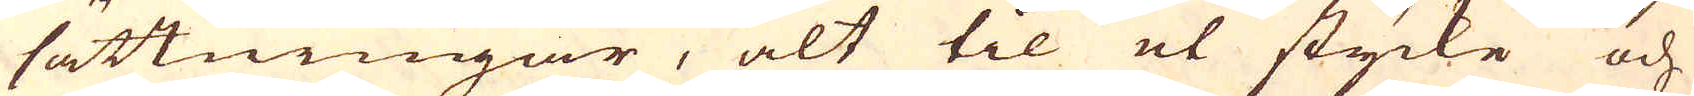sättningar, alt til et stycke och
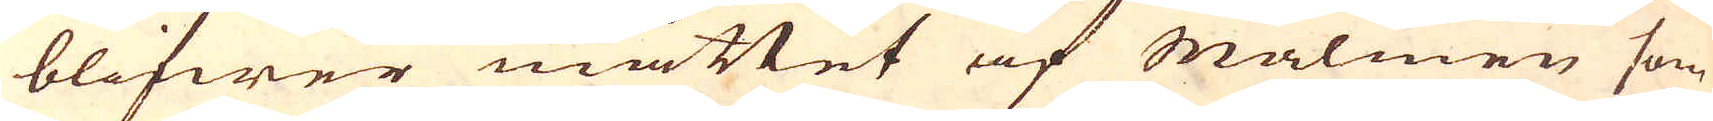blifwer måttet af Malmen som
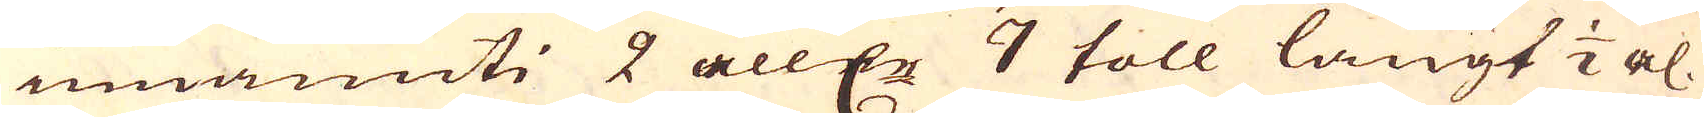innanuti 2 alln:r 7 toll långt 1/2 al.
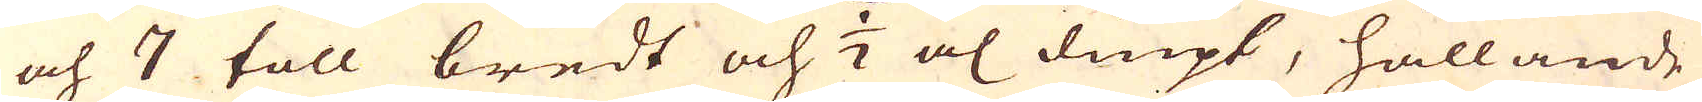och 7 toll bredt och 1/2 al diupt, hållande
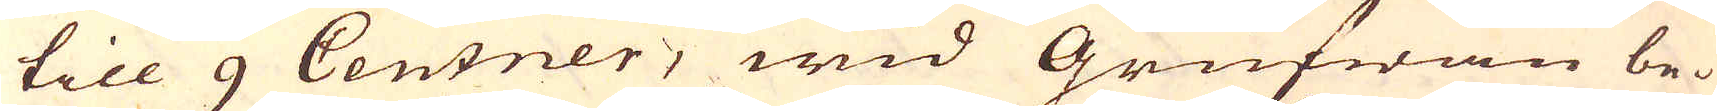till 9 Centner, wid Grufwan be-
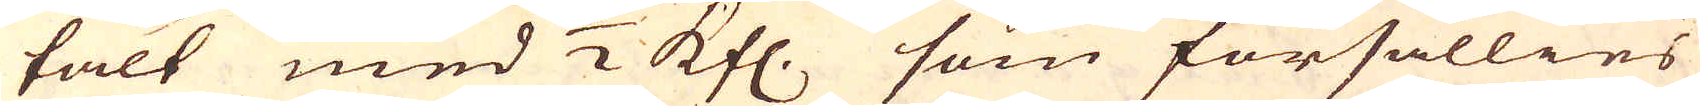falt med 1/2 Kfl. som försällies
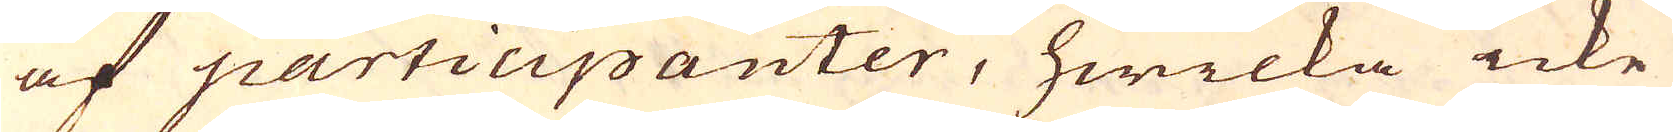af participanter, hwilka icke
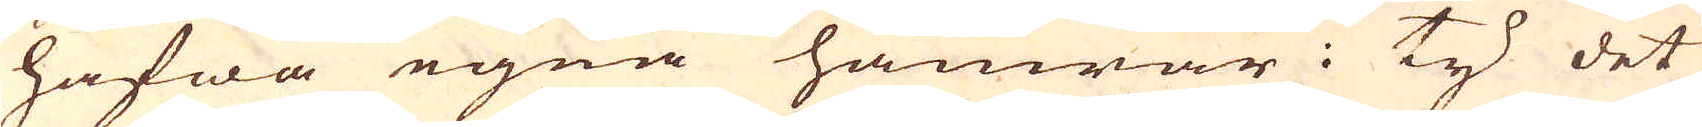hafwa egna hamrar: ty det
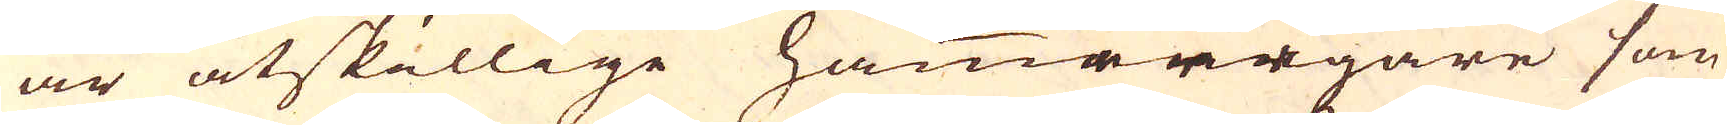är åtskillige hammarägare som
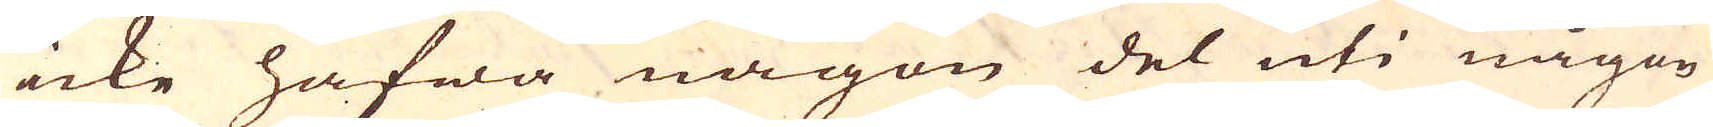icke hafwa någon del uti någon
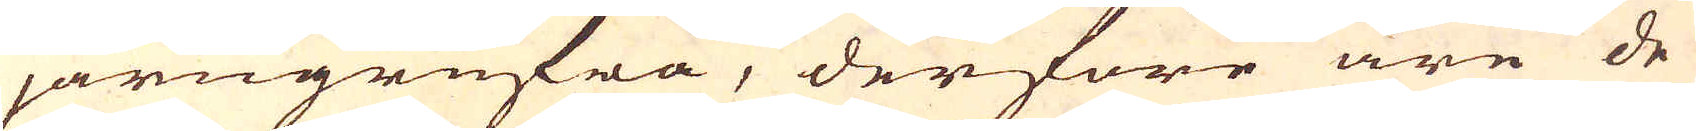järngrufwa, derföre äre de
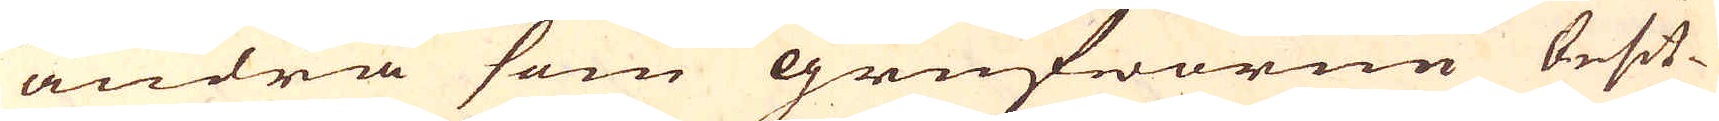andra som grufworne besit-
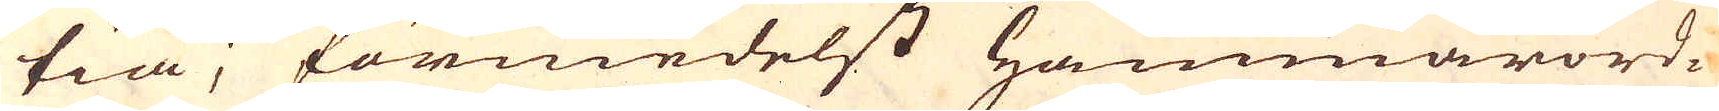tia, förmedelst Hammarord-
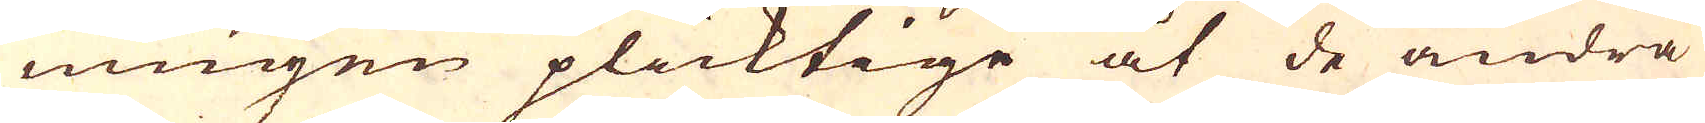ningen plicktige at de andra
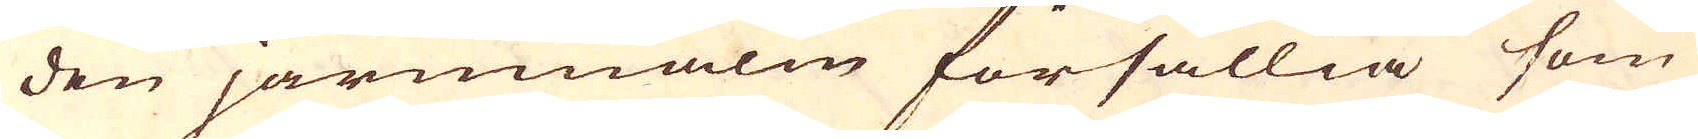den järnmalm försällia som
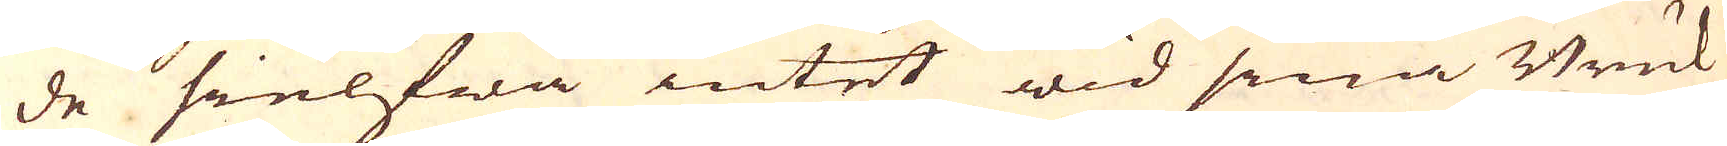de sielfwa intet wid sina Bruk
